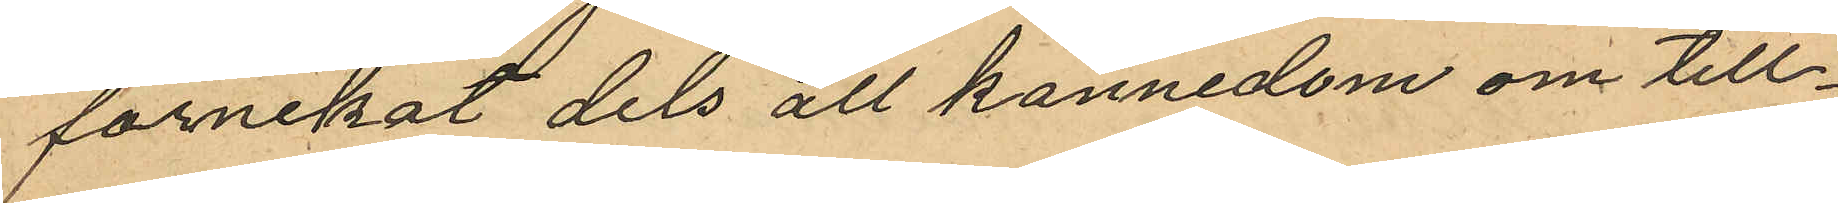förnekat dels all kännedom om till¬
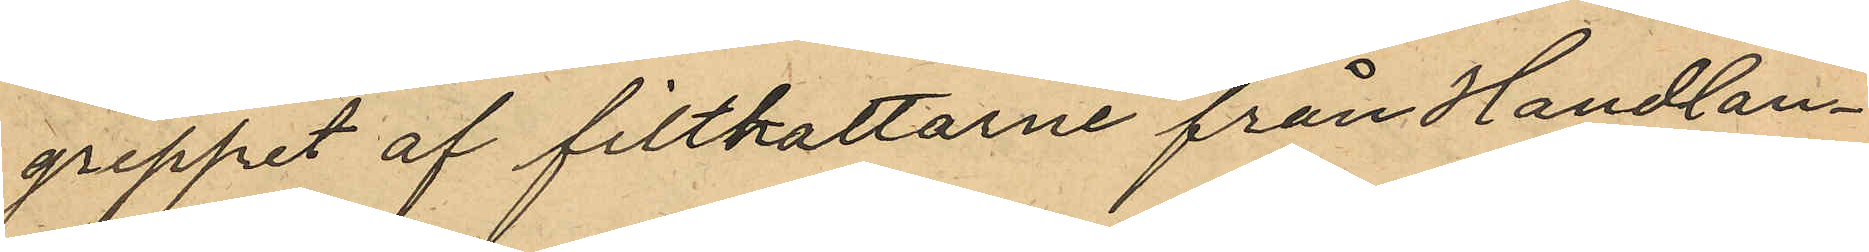greppet af filthattarne från Handlan¬
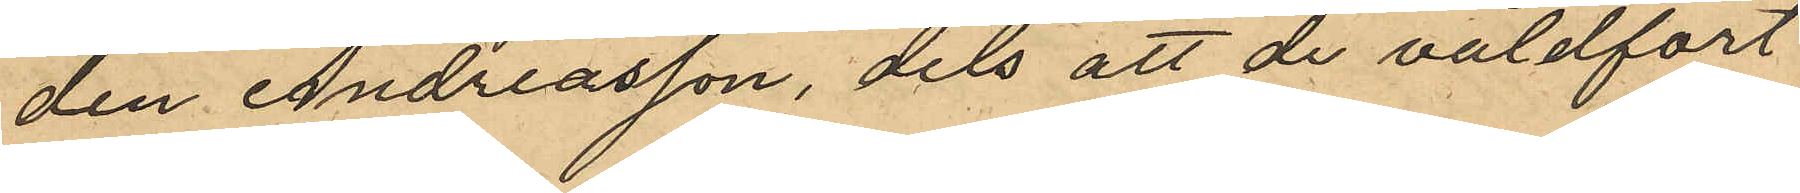den Andreasson, dels att de våldfört
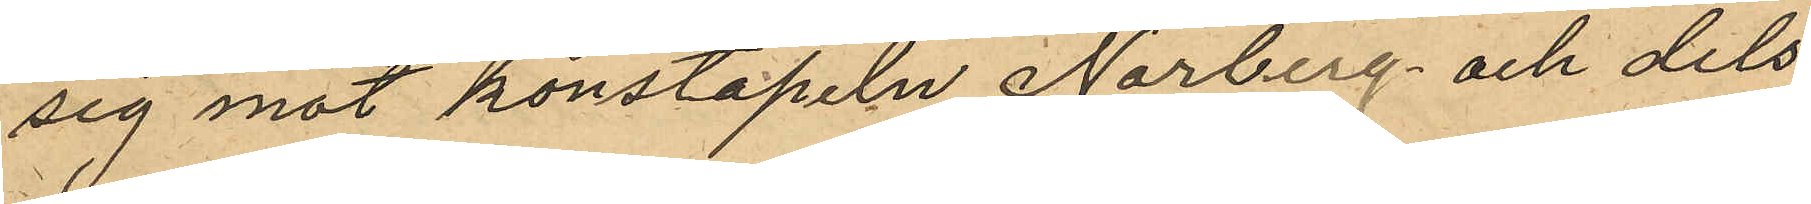sig mot konstapeln Norberg och dels
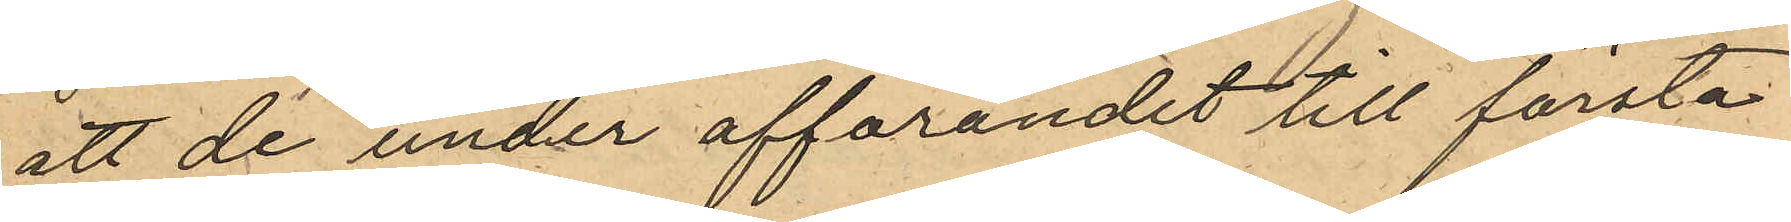att de under afförandet till första
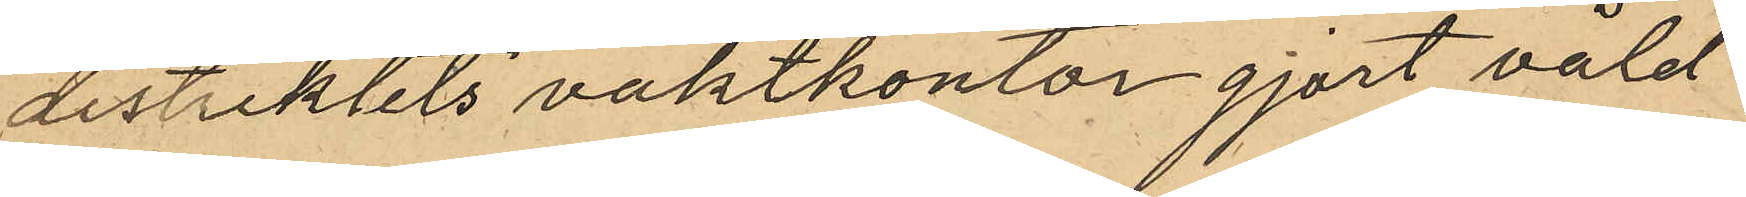distriktets vaktkontor gjort våld¬
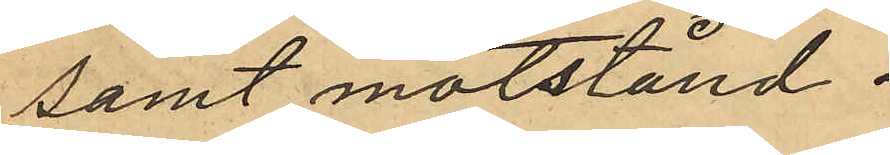samt motstånd.
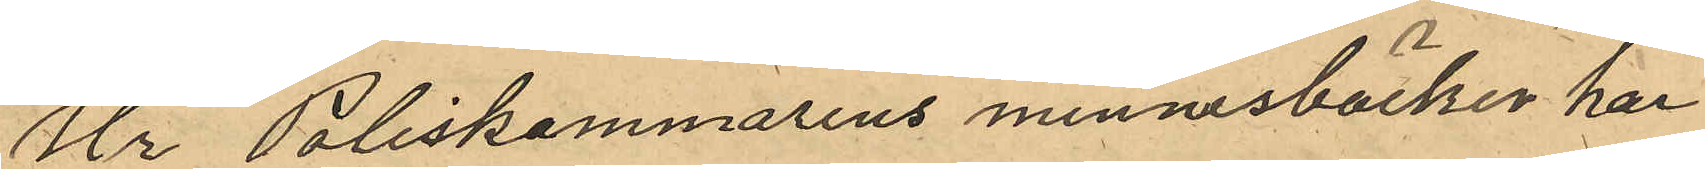Ur Poliskammarens minnesböcker har
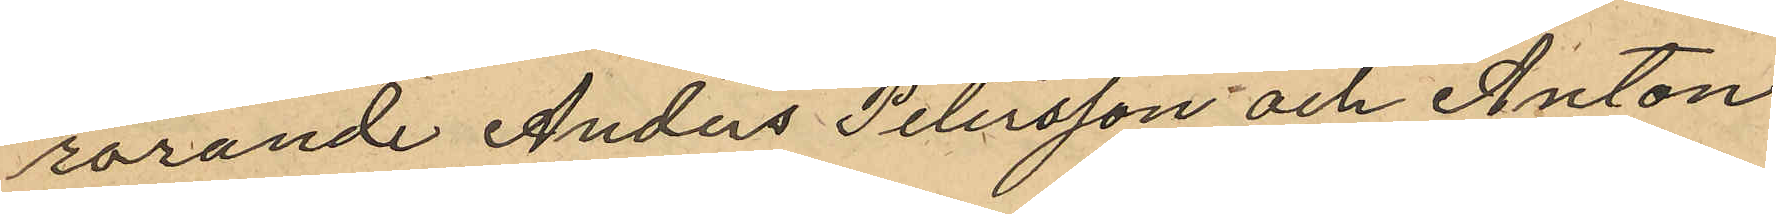rörande Anders Petersson och Anton
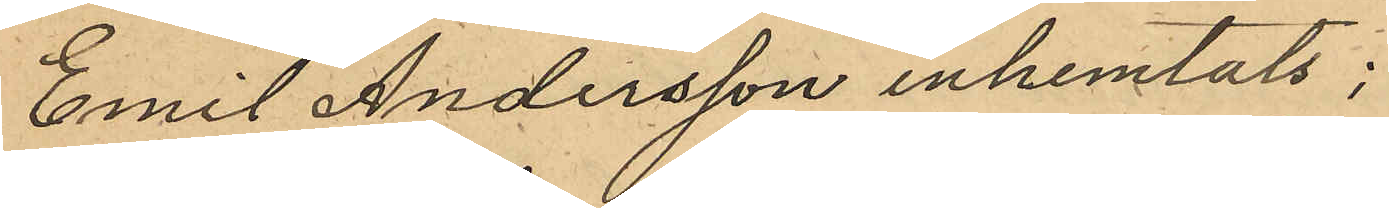Emil Andersson inhemtats;
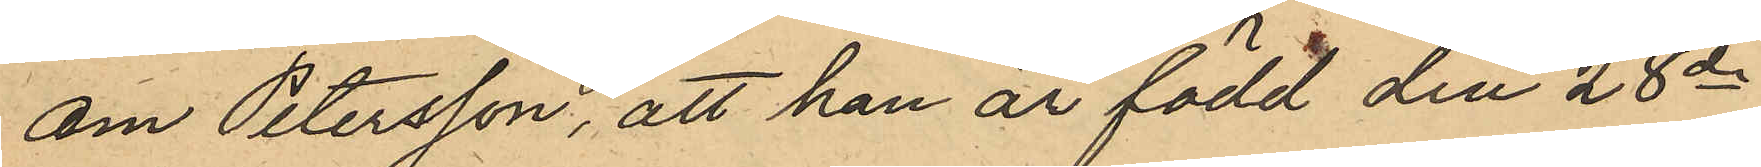om Petersson, att han är född den 28de
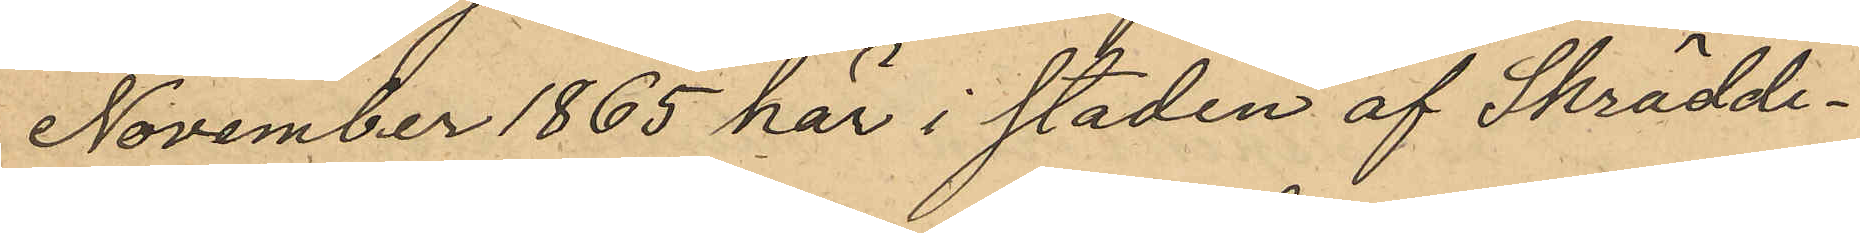November 1865 här i staden af Skrädde¬
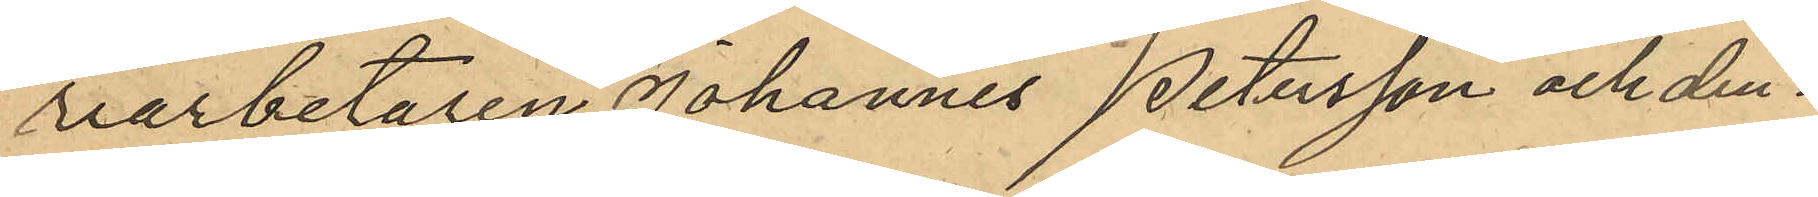riarbetaren Johannes Petersson och den¬
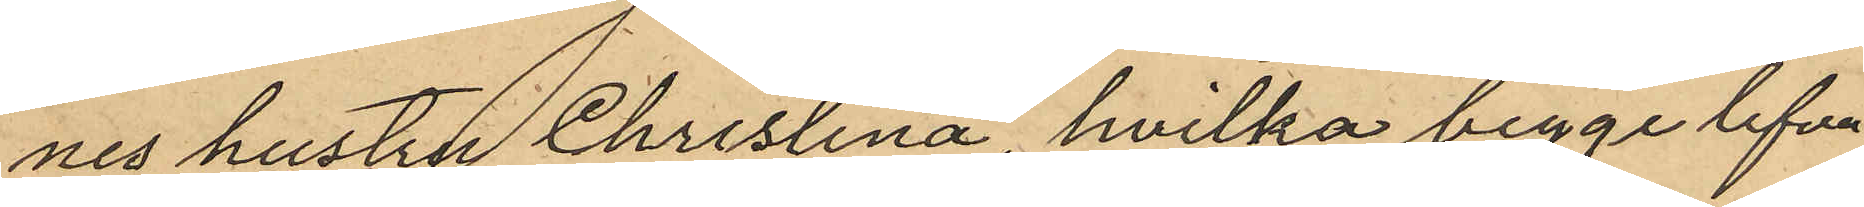nes hustru Christina, hvilka begge lefva
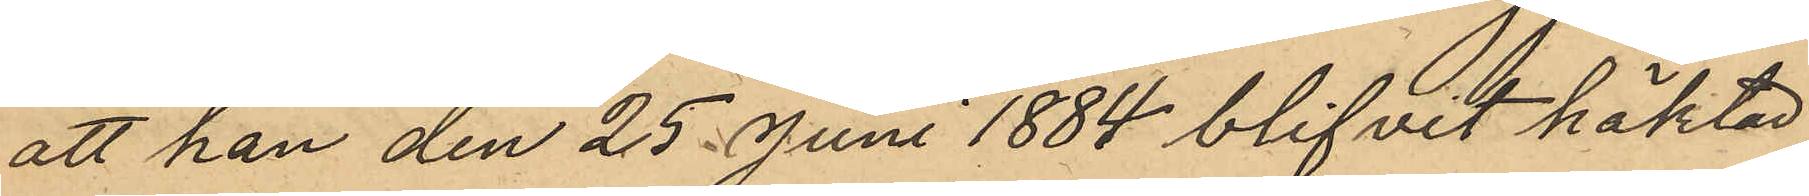att han den 25 Juni 1884 blifvit häktad
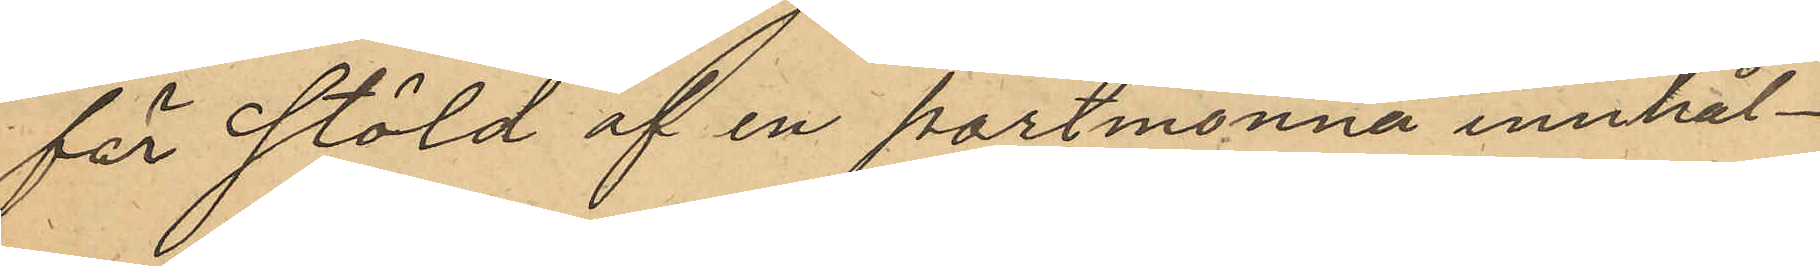för stöld af en portmonnä innhål¬
